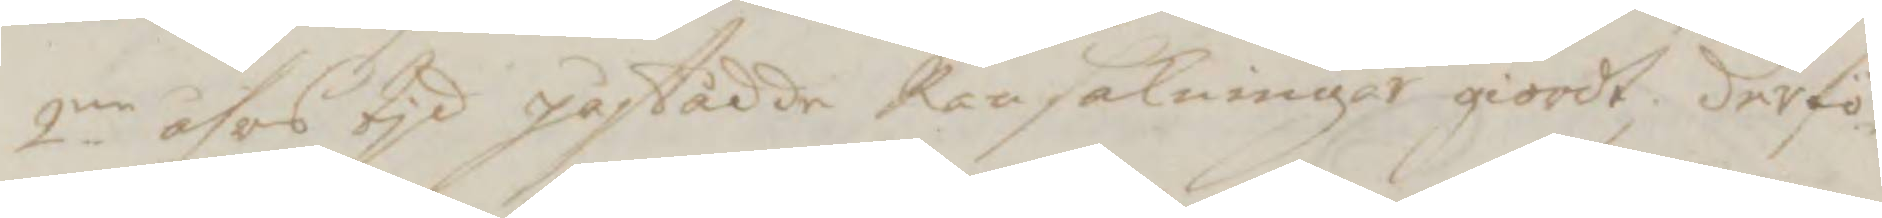2ne åhrs tjd påstådde Ransakningar giordt, derfö¬
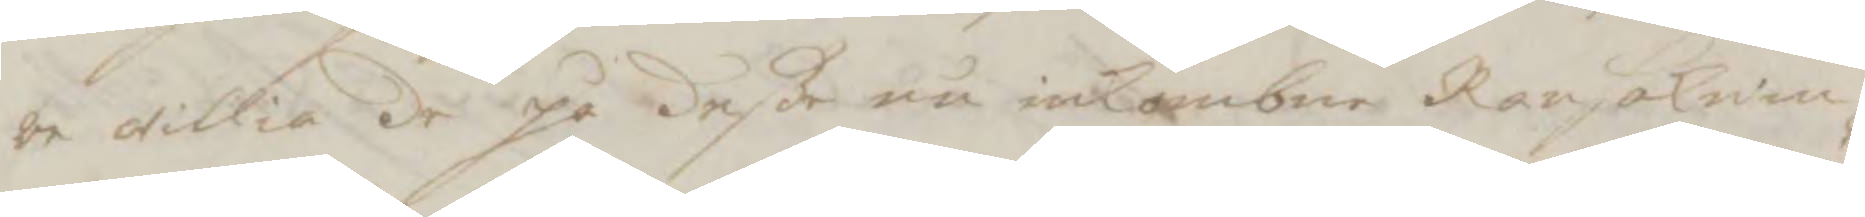re wille de på deße nu inkombne Ransaknin¬
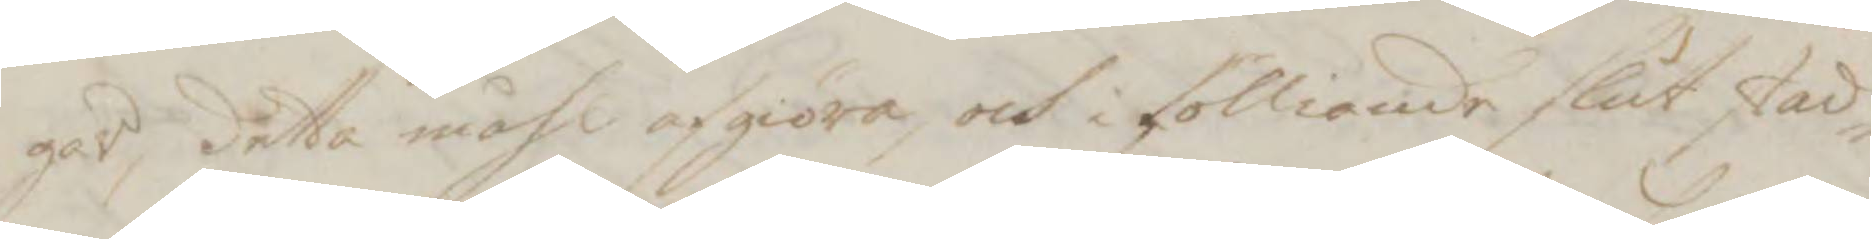gar, detta måhl afgiöra, och i fölliande slut stad¬
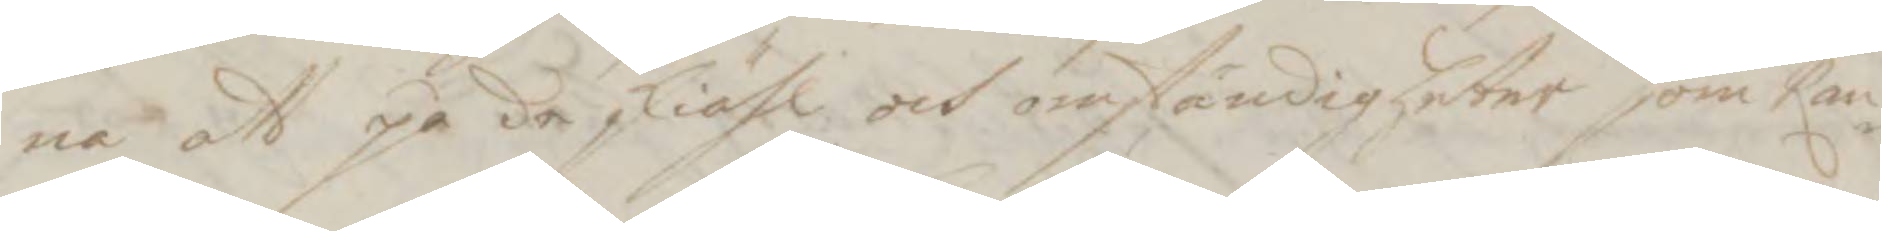na att på de skiähl och omständigheter som Ran¬
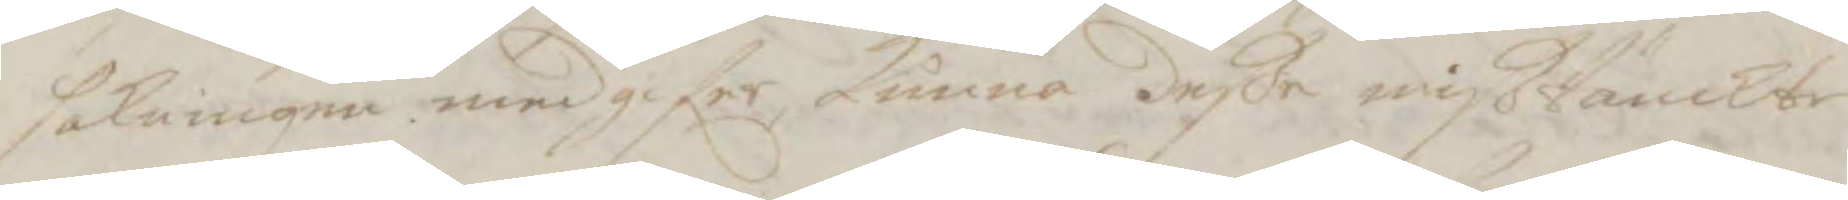sakningen medgifer kunna deße mißtänckte
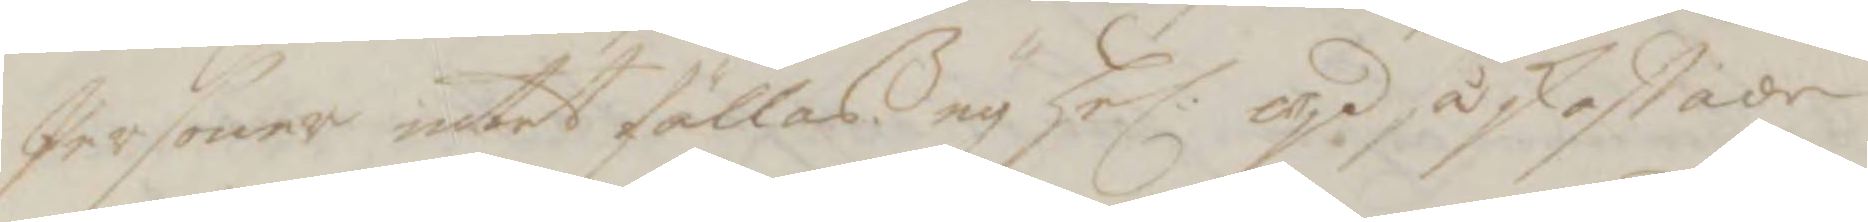Personer intet fällas, ey hel. wjd så skaffade
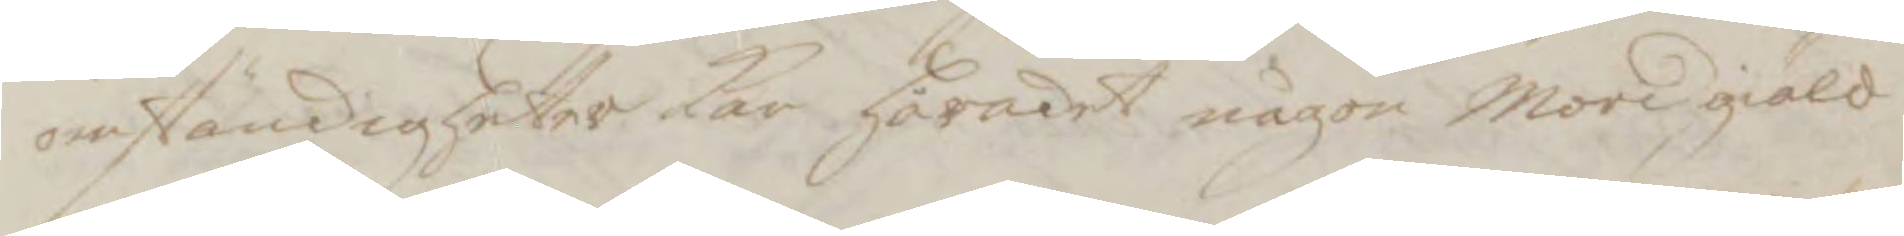omståndigheter kan häradet någon mordgiäld
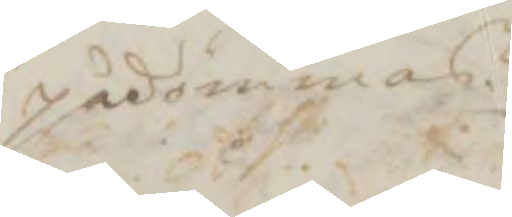pådömmas.
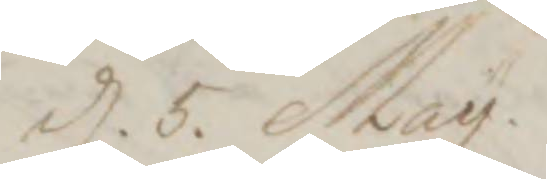d. 5. May.
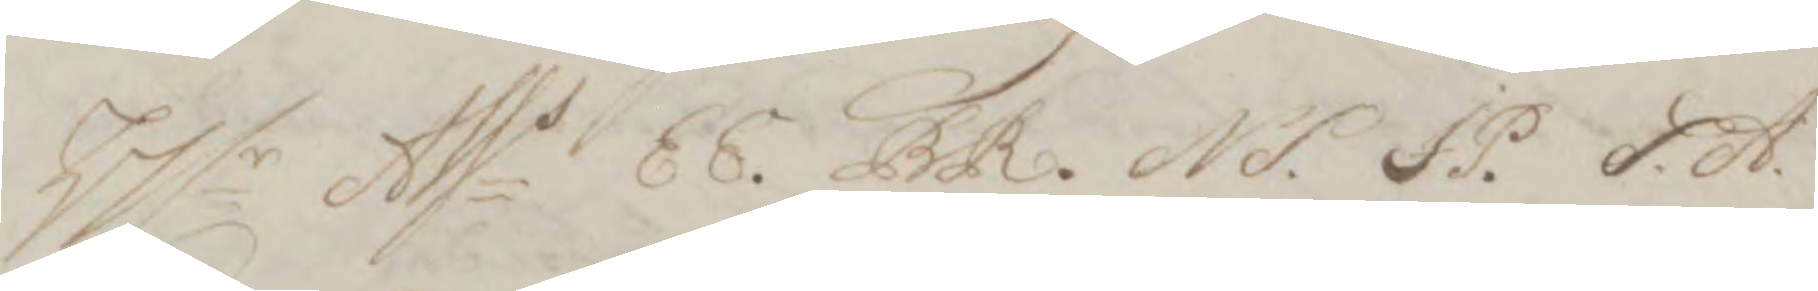Hlr Asss EE. BR. NS. JP. SA.
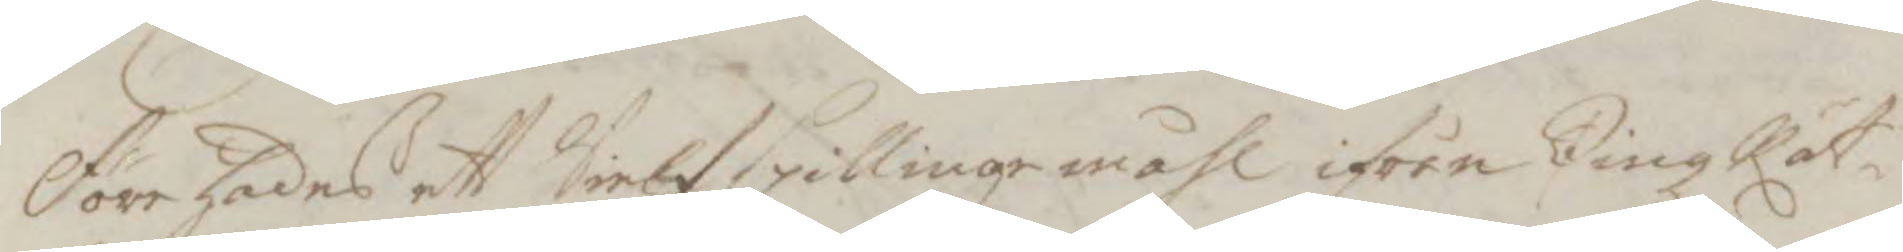Förehades ett Sielfspillingemåhl ifrån TingzRät¬
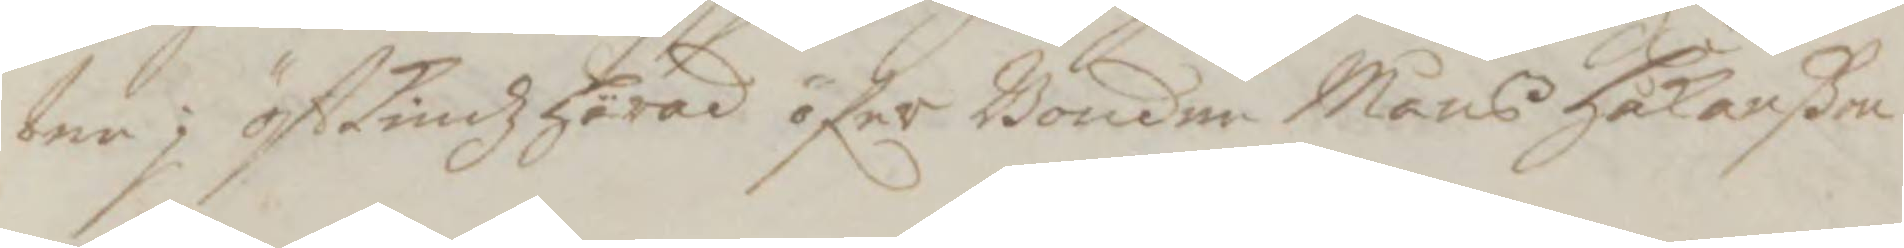ten i östtiudz härad öfer Bonden Måns Håkanßon
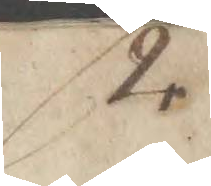2.
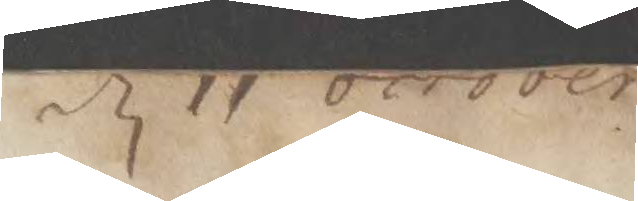d 11 october
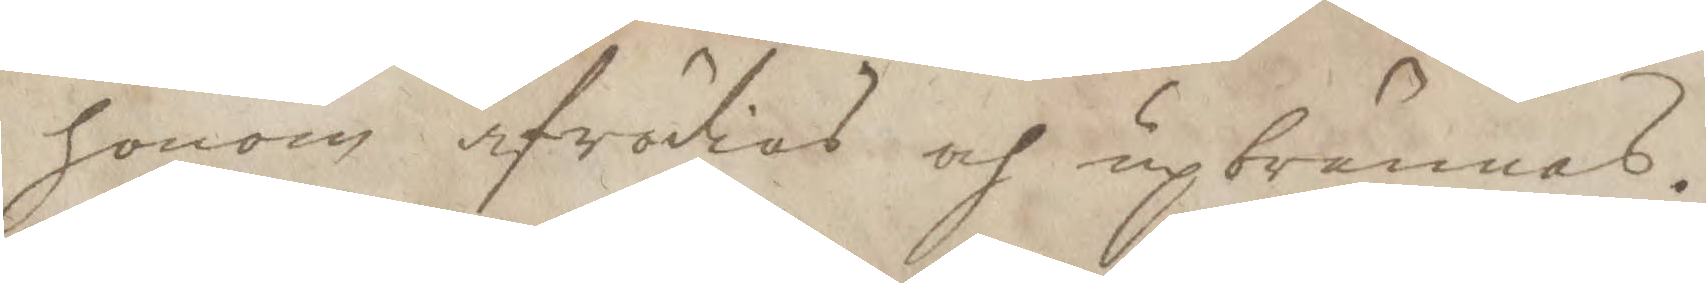honom afrödias och upbrännas.
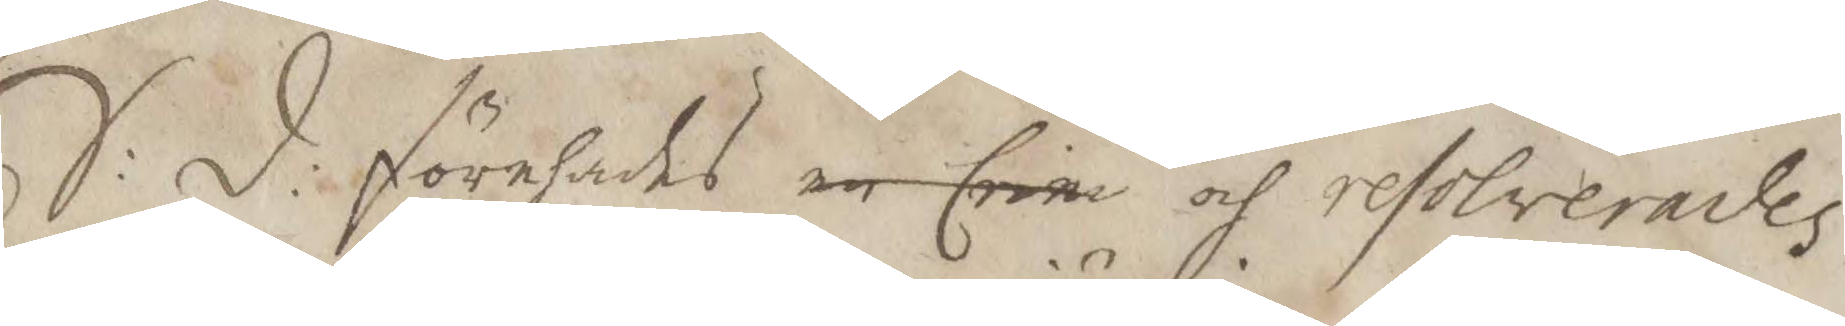S:d: förehades en Crim och resolverades
